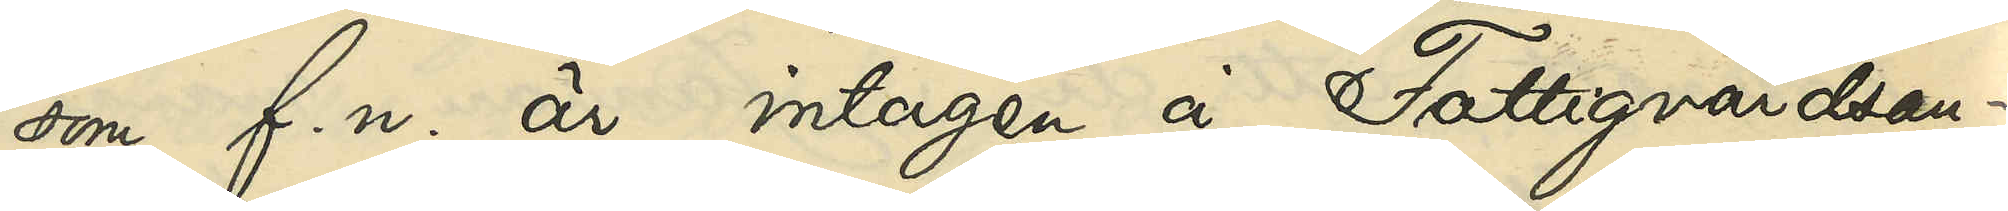som f. n. är intagen å Fattigvårdsan¬
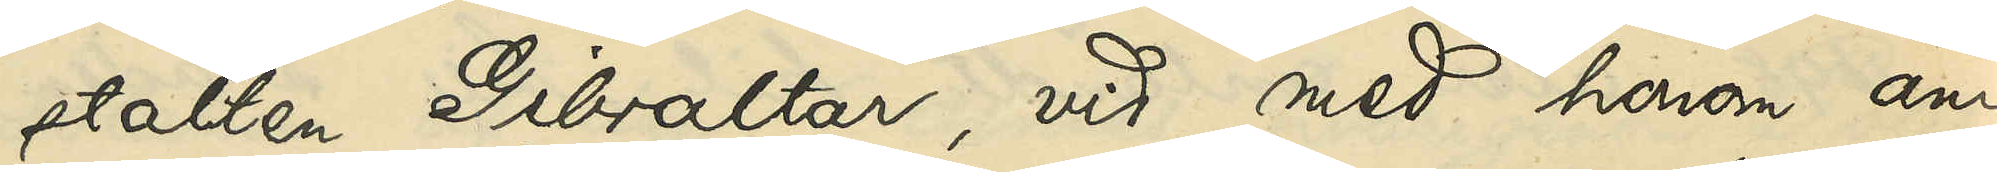stalten Gibraltar, vid med honom an¬
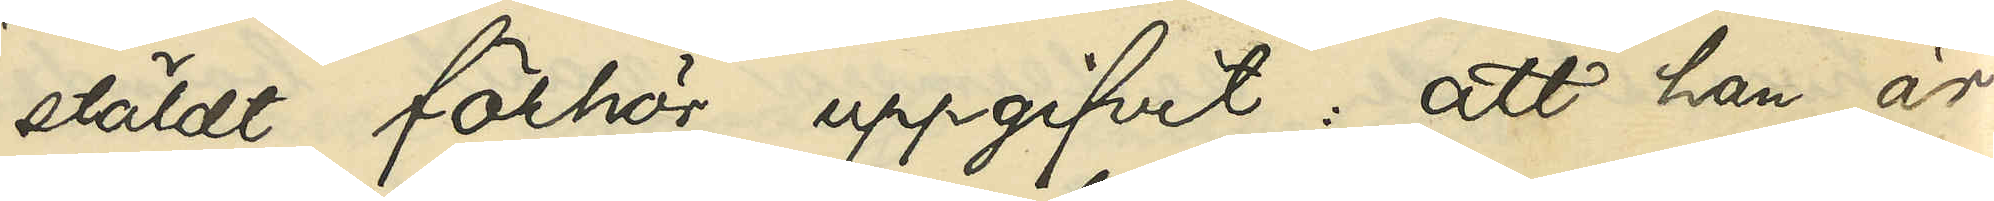stäldt förhör uppgifvit, att han är
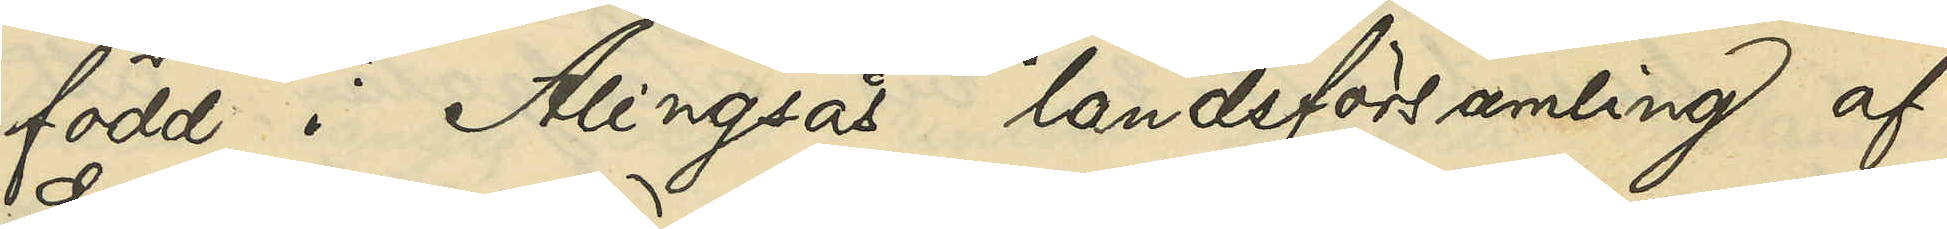född i Alingsås landsförsamling af
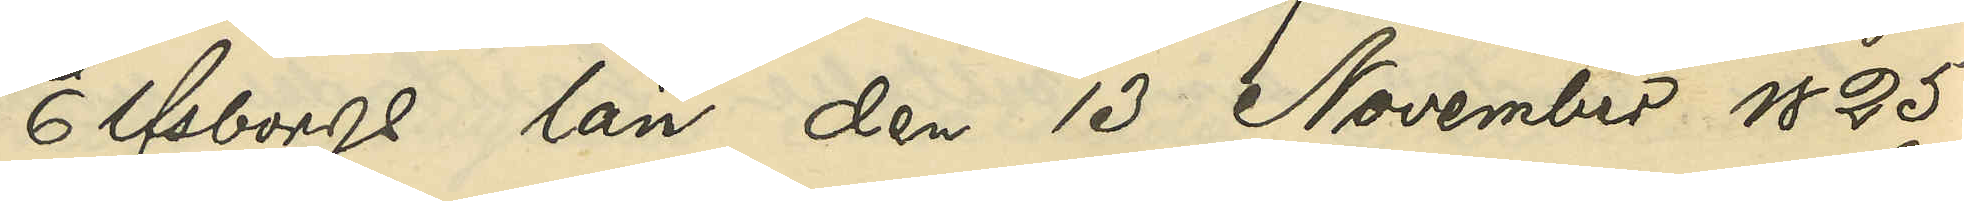Elfsborgs län den 13 November 1825;
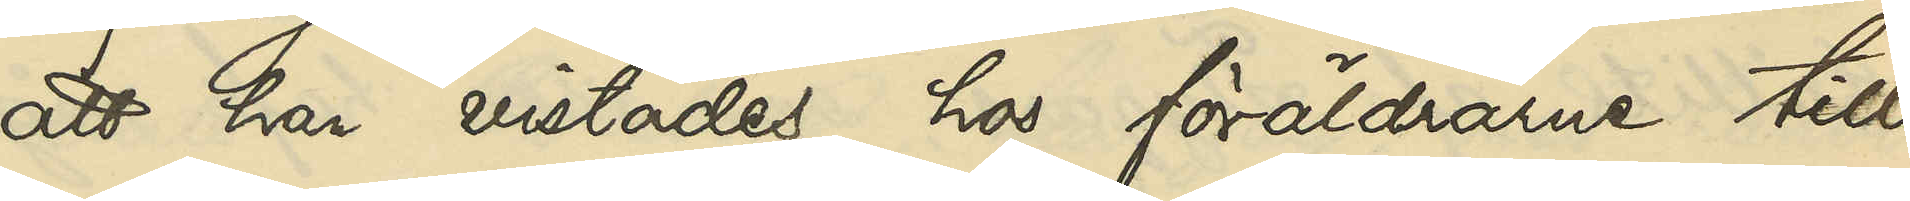att han vistades hos föräldrarne till
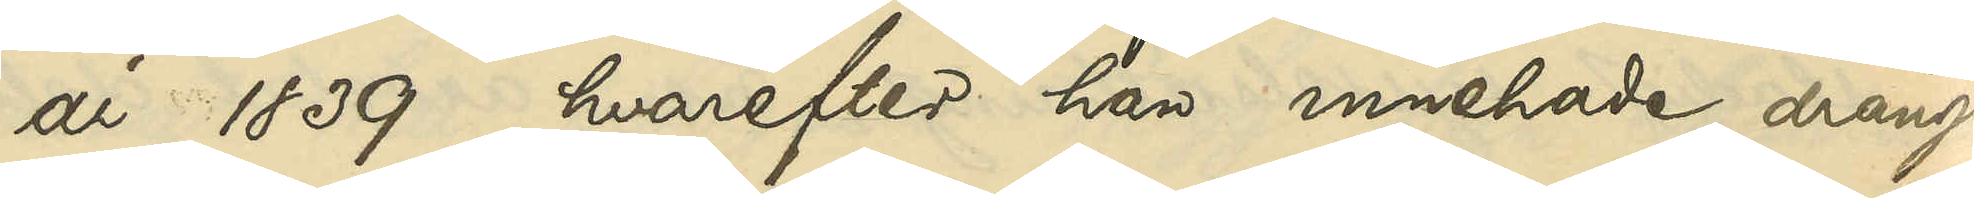år 1839, hvarefter han innehade dräng¬
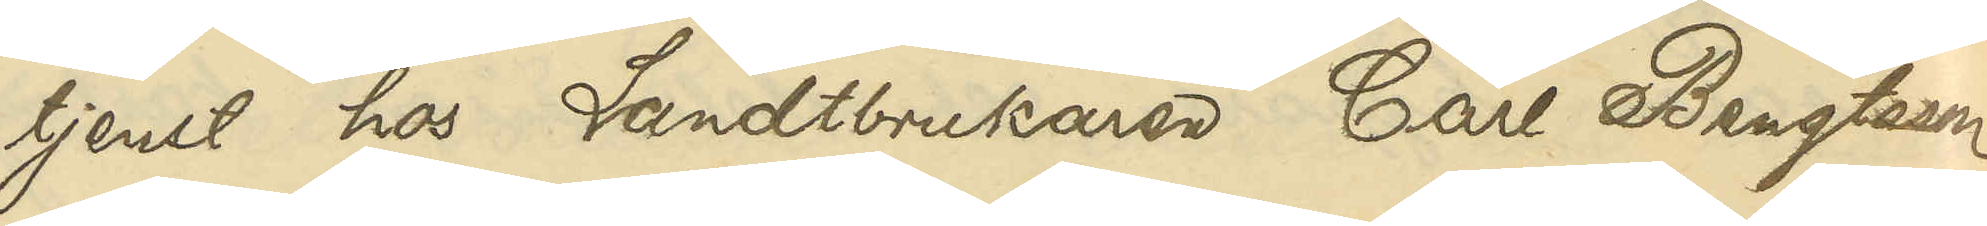tjenst hos Landtbrukaren Carl Bengtsson
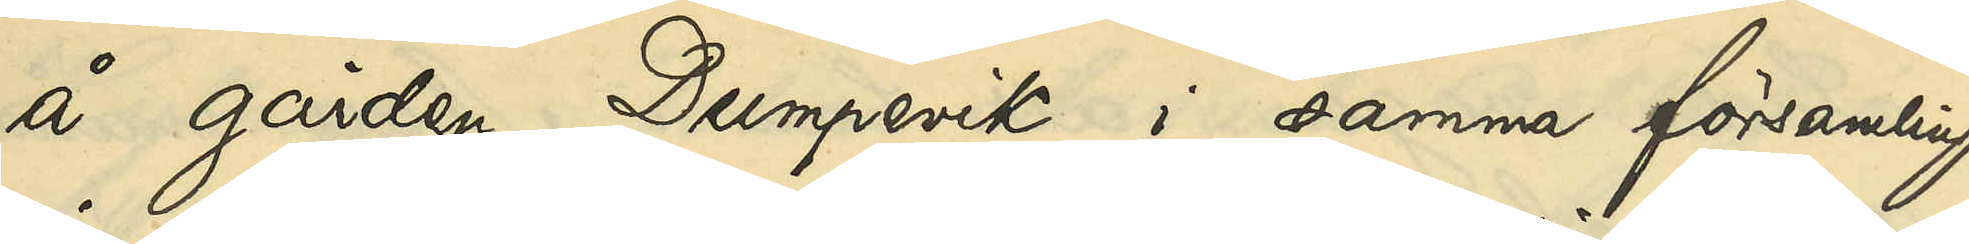å gården Dumpevik i samma församling
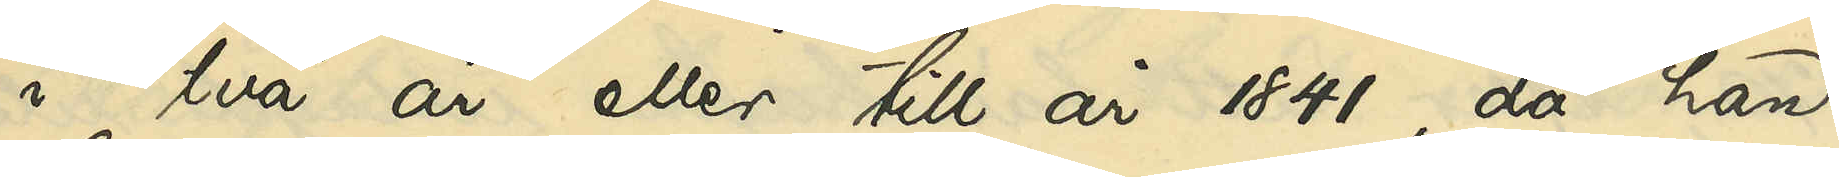i två år eller till år 1841, då han
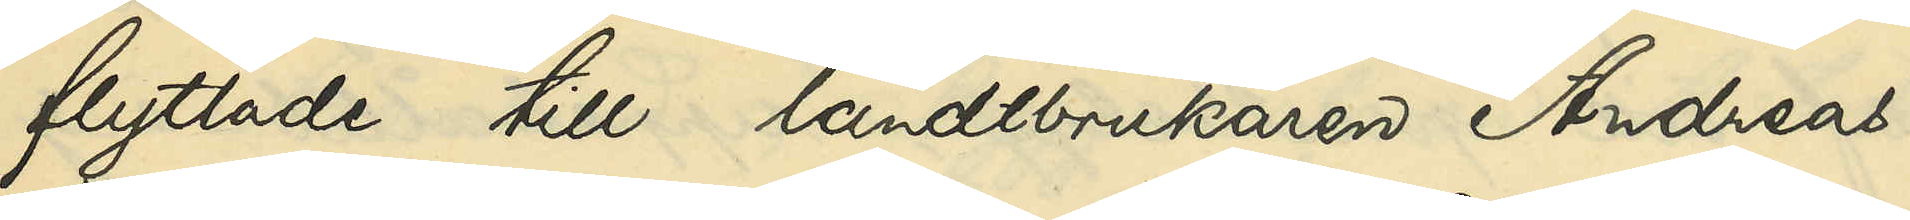flyttade till landtbrukaren Andreas
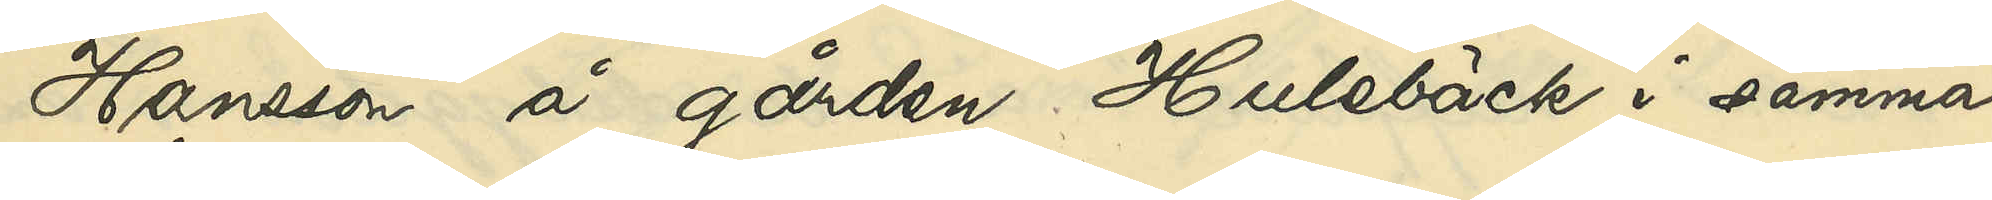Hansson å gården Hulebäck i samma
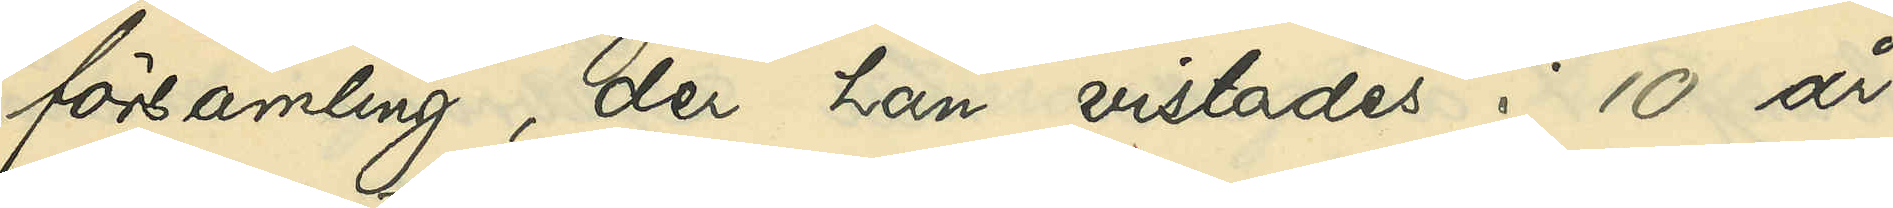församling, der han vistades i 10 år
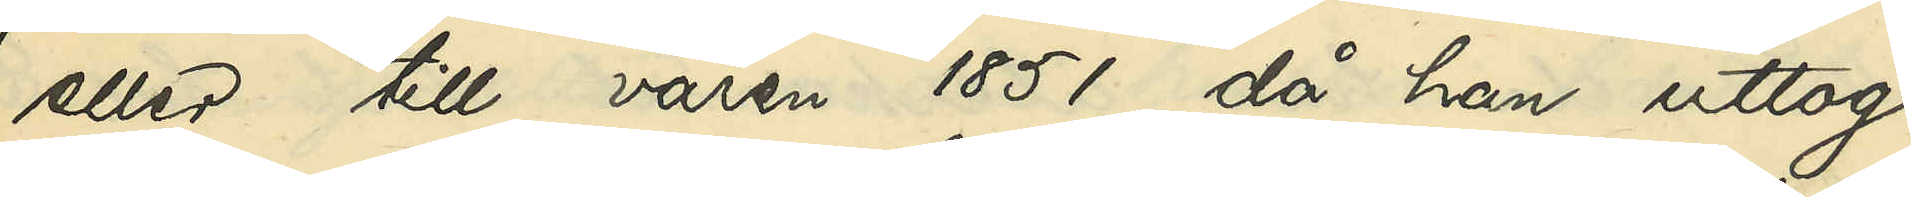eller till våren 1851, då han uttog
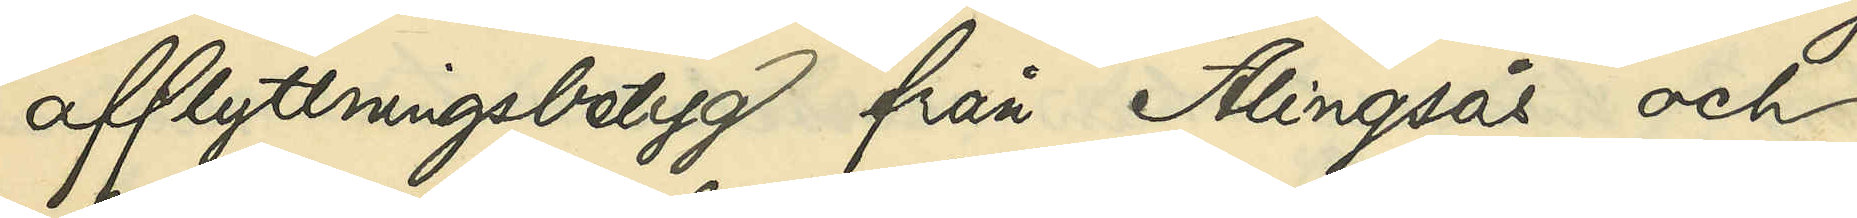afflyttningsbetyg från Alingsås och
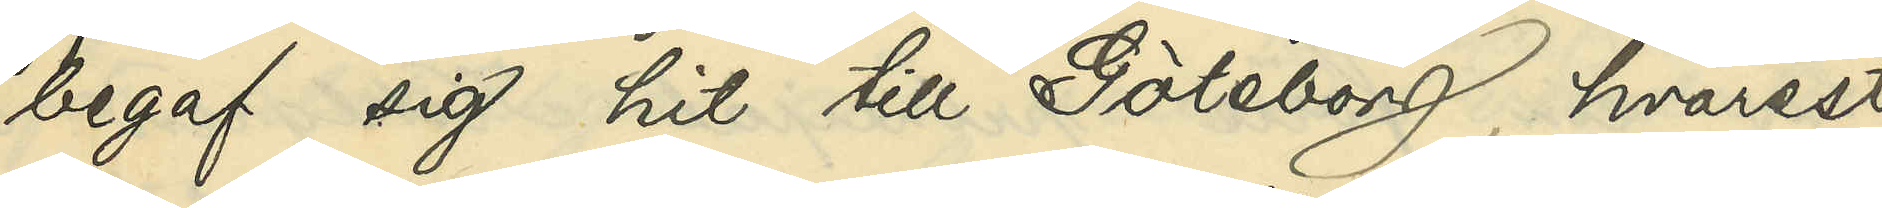begaf sig hit till Göteborg, hvarest
